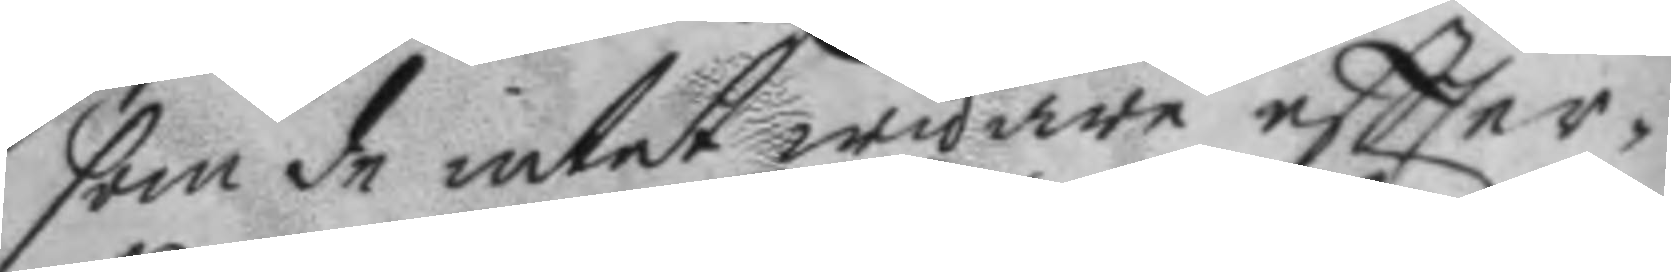som de intet widare eftter¬
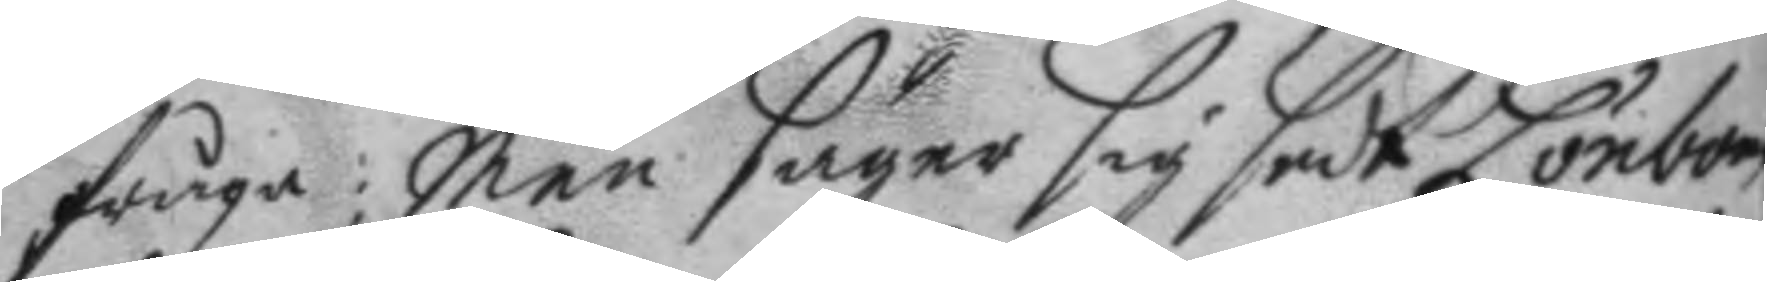fråga: men säger sig sedt Lönbom
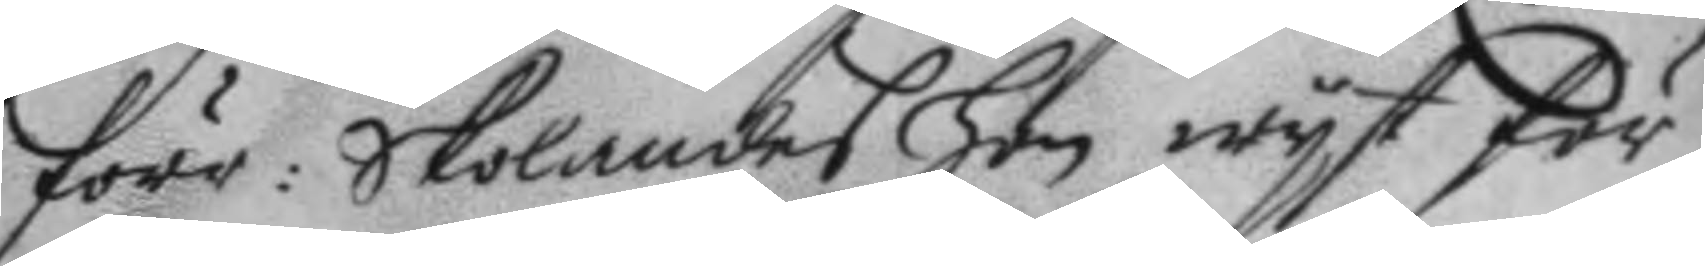förr: Skolandes hon wyst för
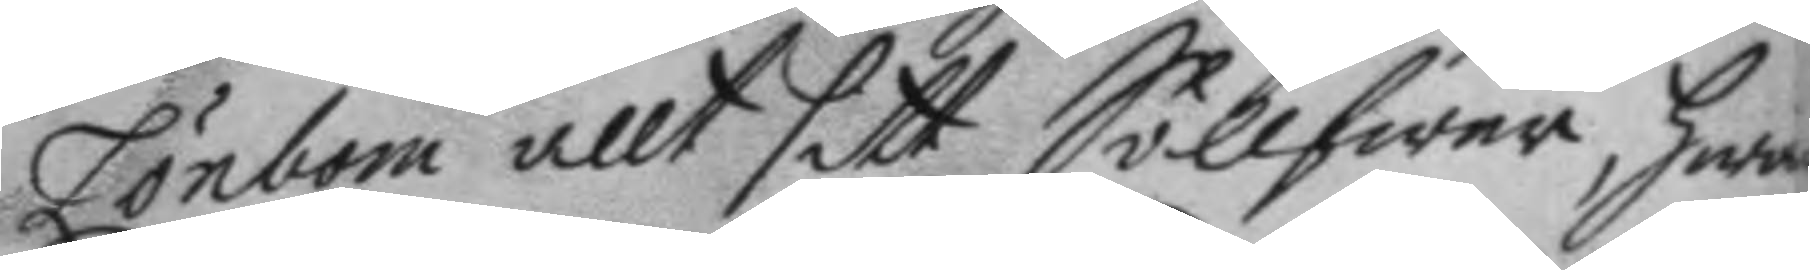Lönbom allt sitt Söllfwer, hwa¬
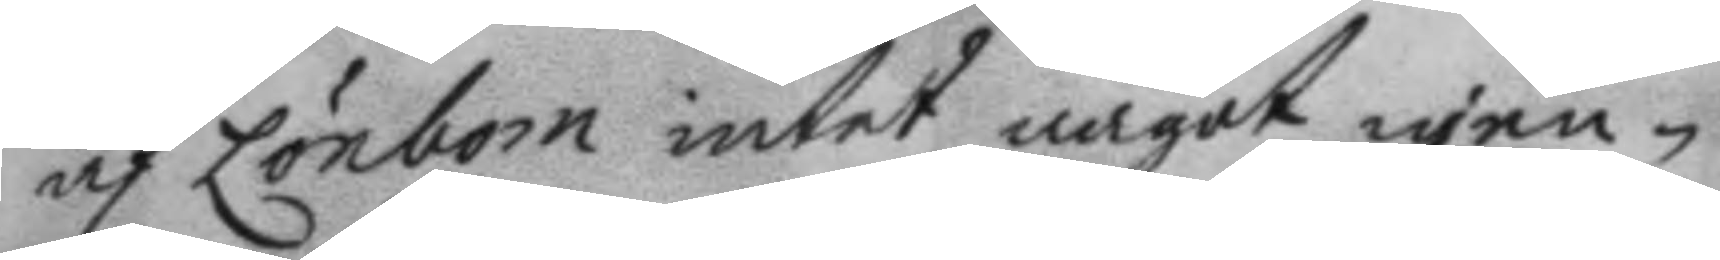af Lönbom intet något igen¬
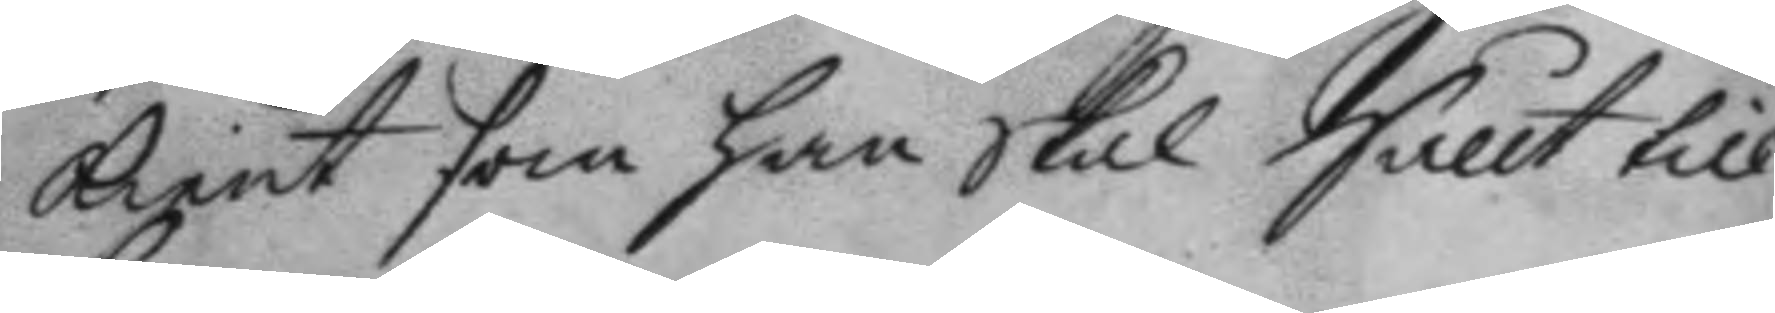kient som han skal Sållt till
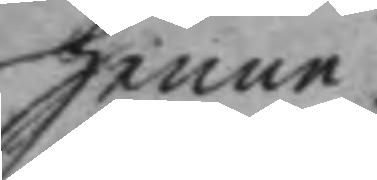henne.
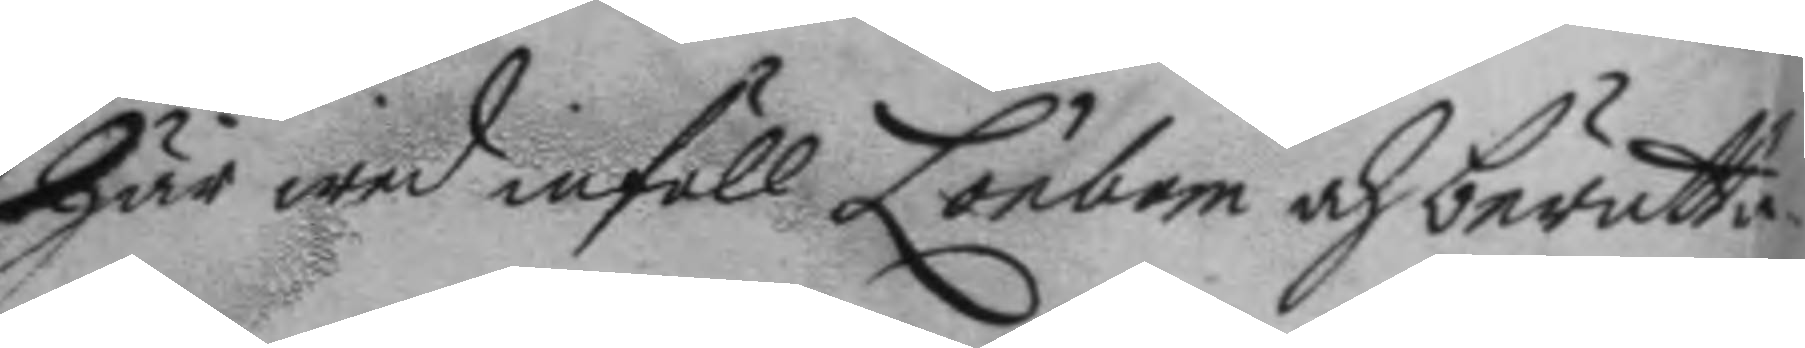här wed inföll Lönbom och berätta¬
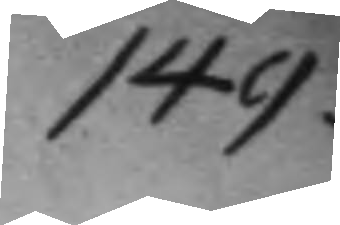149.
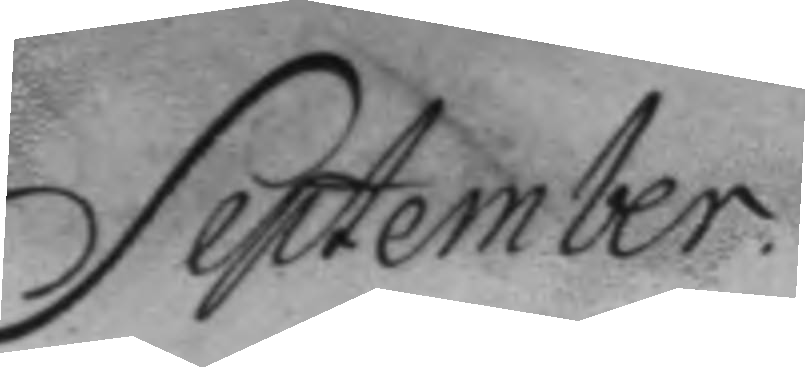September.
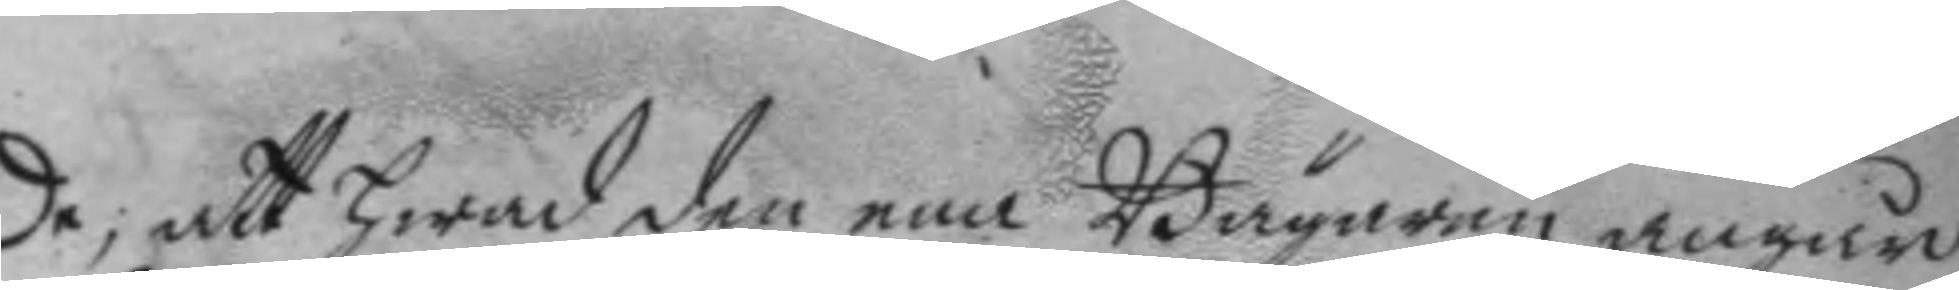de; att hwad den ena Bägaren angår
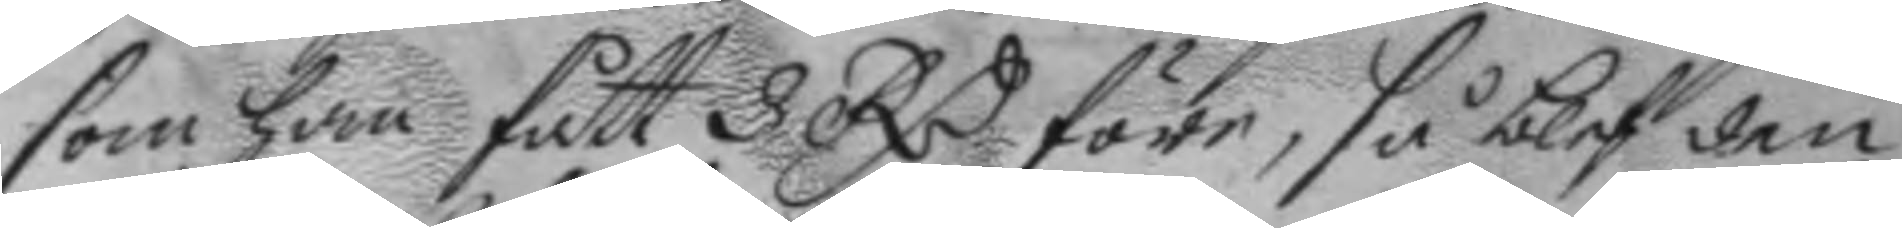som han fått 3 RC före, så blef den
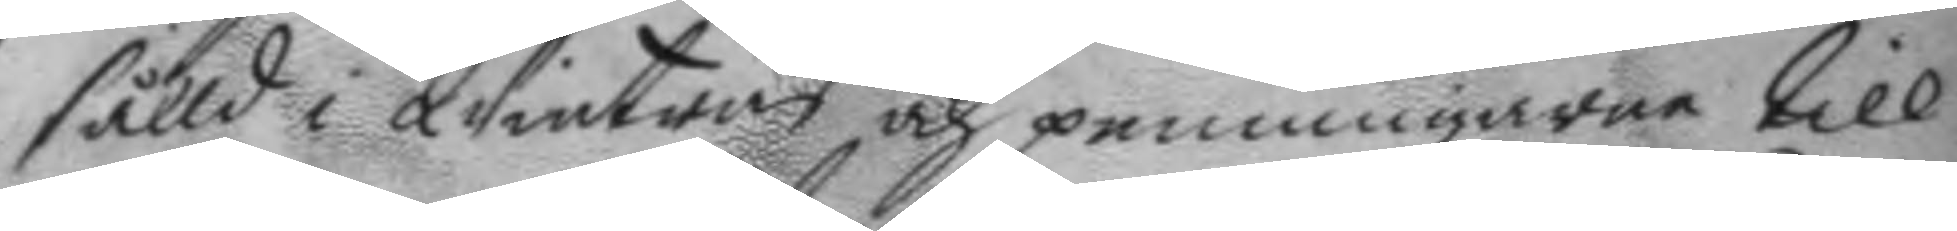sålld i Wintras och penningarne till
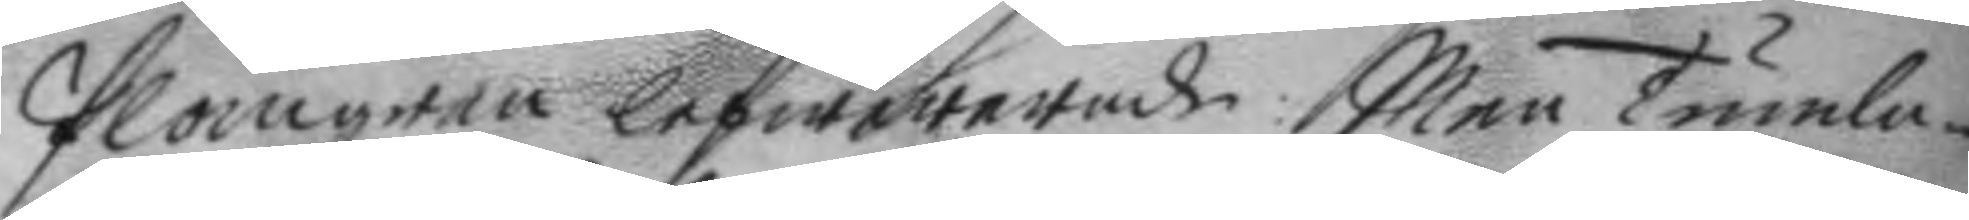Plomgren lefwererade: men tumla¬
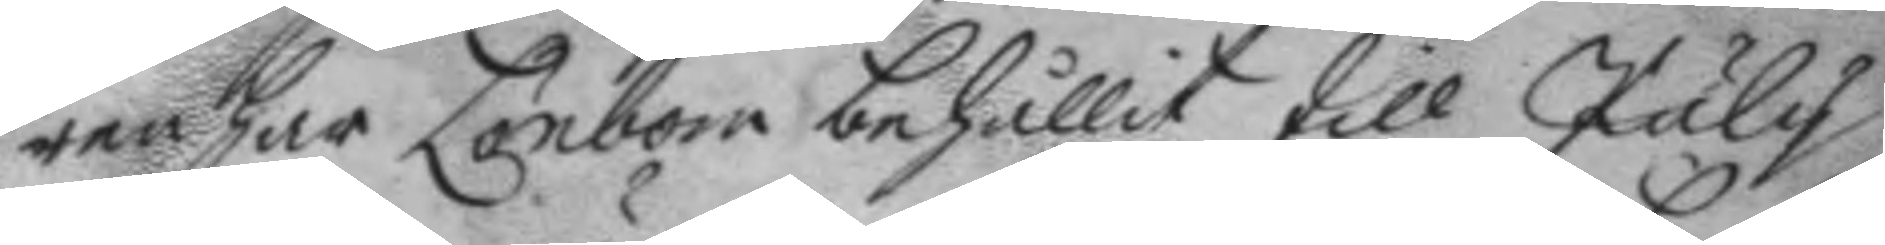ren har Lönbom behållit till July
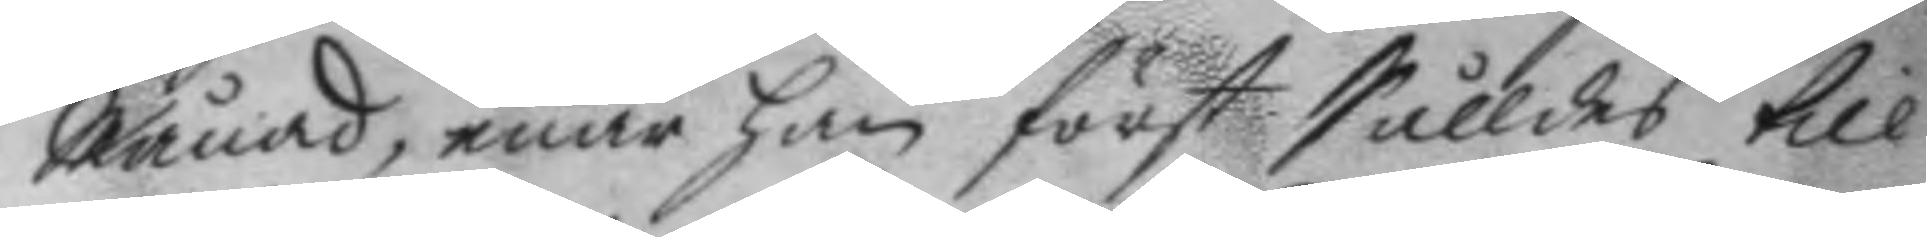Månad, enär han först Sålldes till
